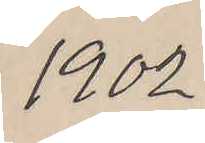1902
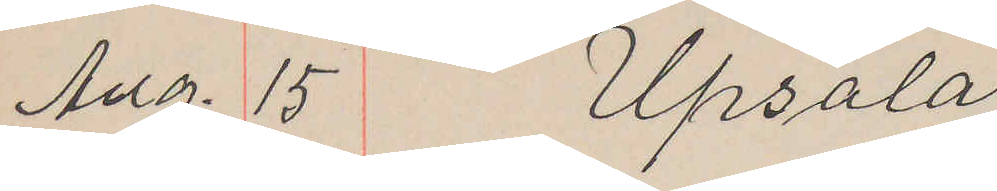Aug. 15 Upsala.
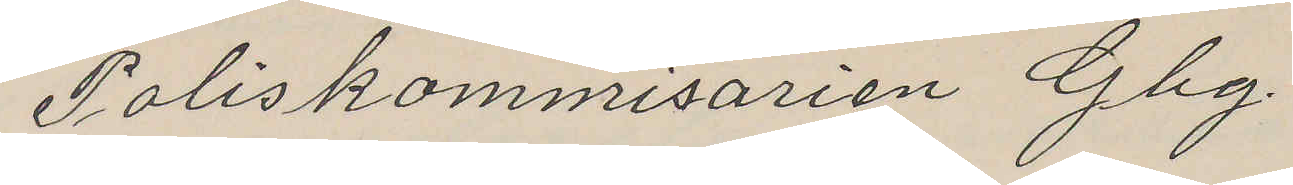Poliskommisarien Gbg.
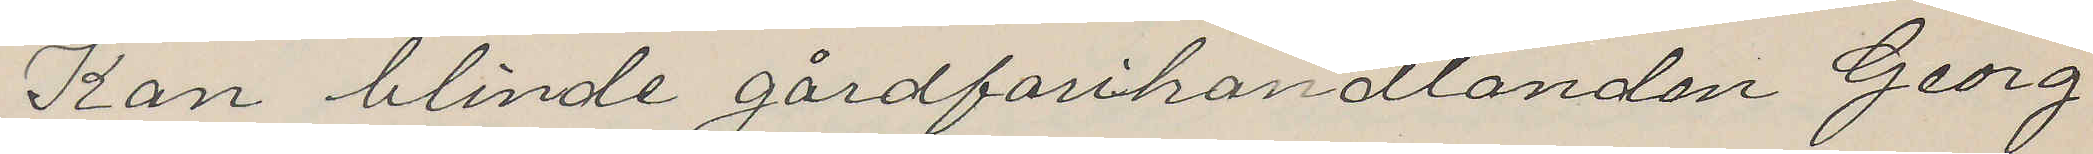Kan blinde gårdfarihandlanden Georg
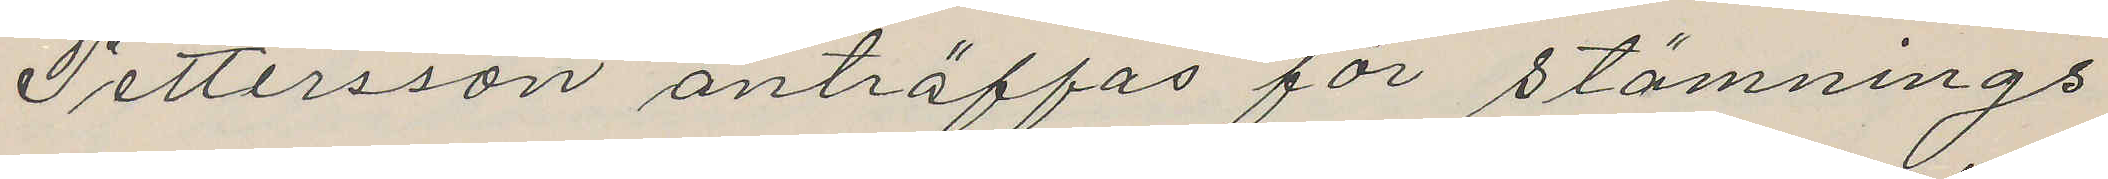Pettersson anträffas för stämnings
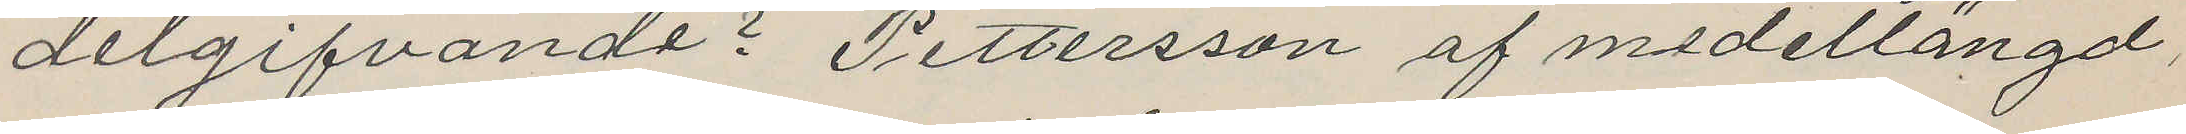delgifvande? Pettersson af medellängd,
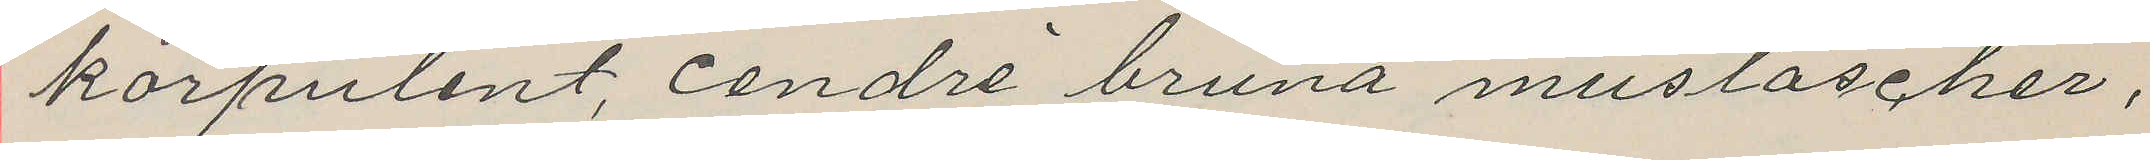korpulent, cendré bruna mustascher,
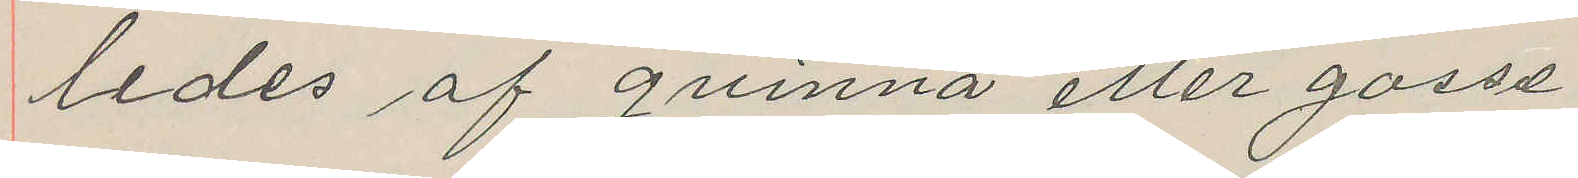ledes af qvinna eller gosse.
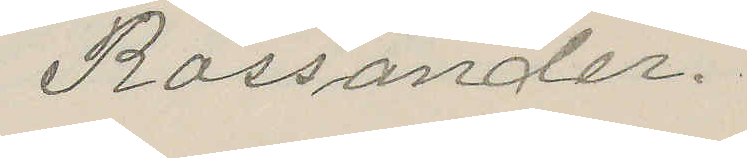Rossander.
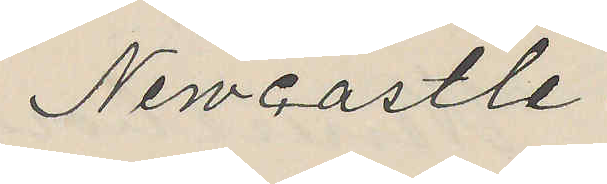Newcastle
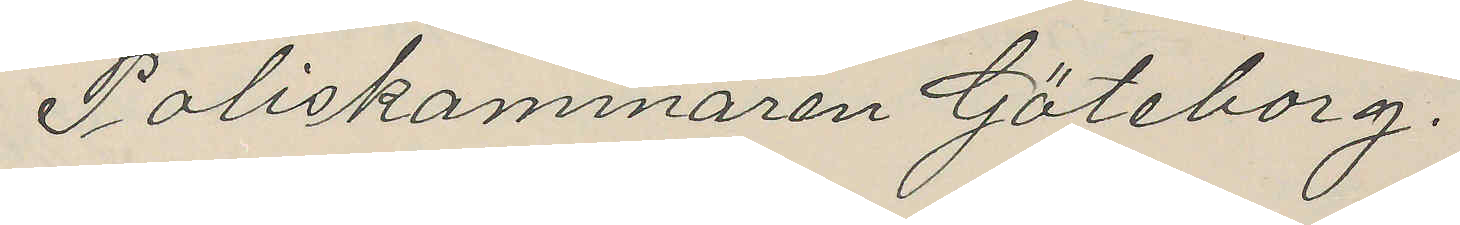Poliskammaren Göteborg.
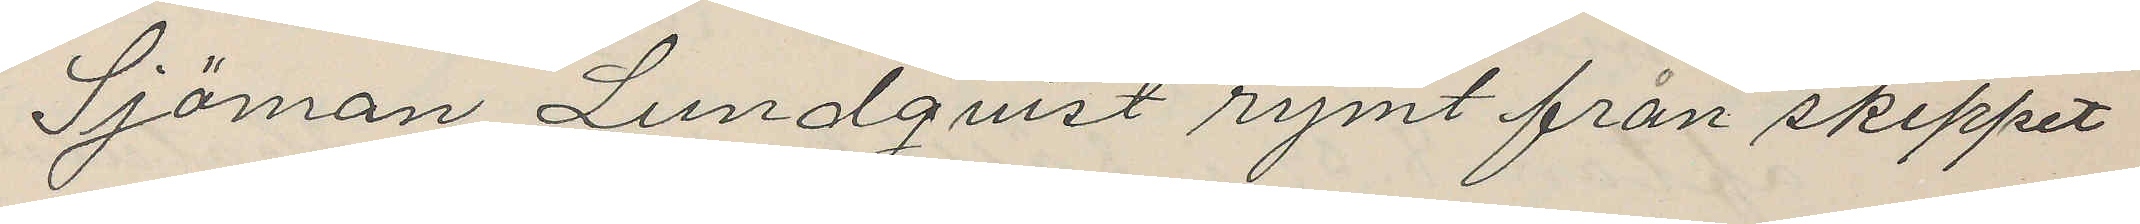Sjöman Lundquist rymt från skeppet
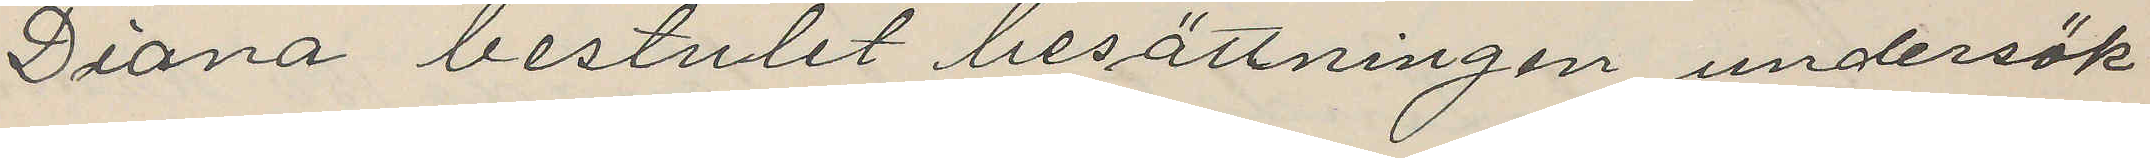Diana bestulit besättningen undersök
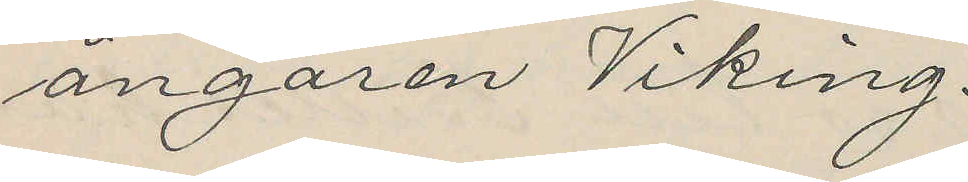ångaren Viking.
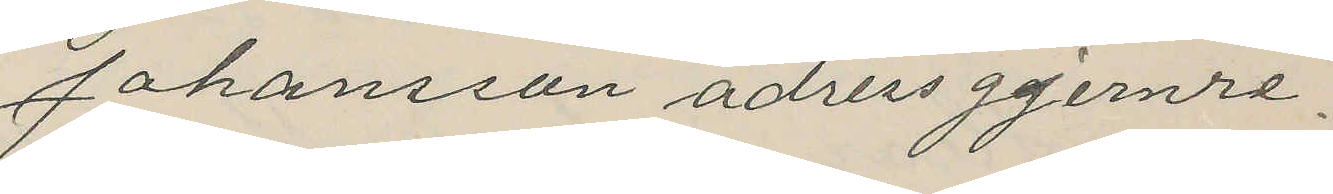Johansson adress gjernre.
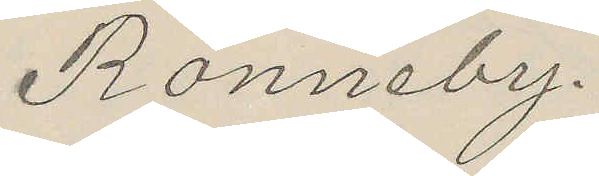Ronneby.
